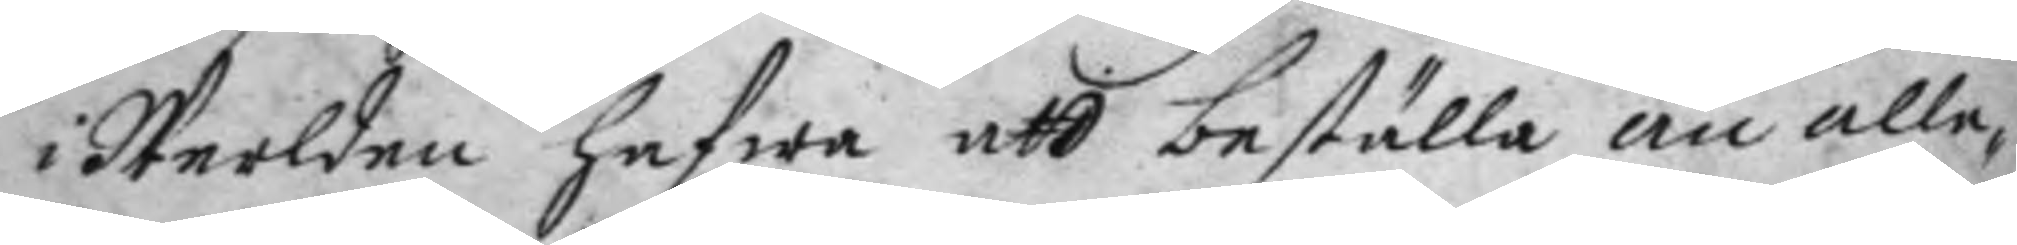i Werlden hafwa att beställa än alle¬
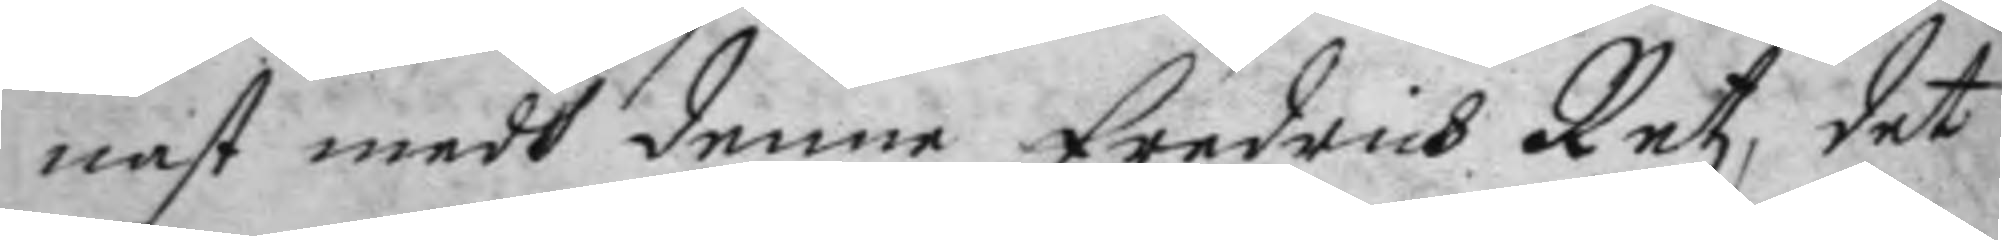nast medh denne Fredrich Retz, det
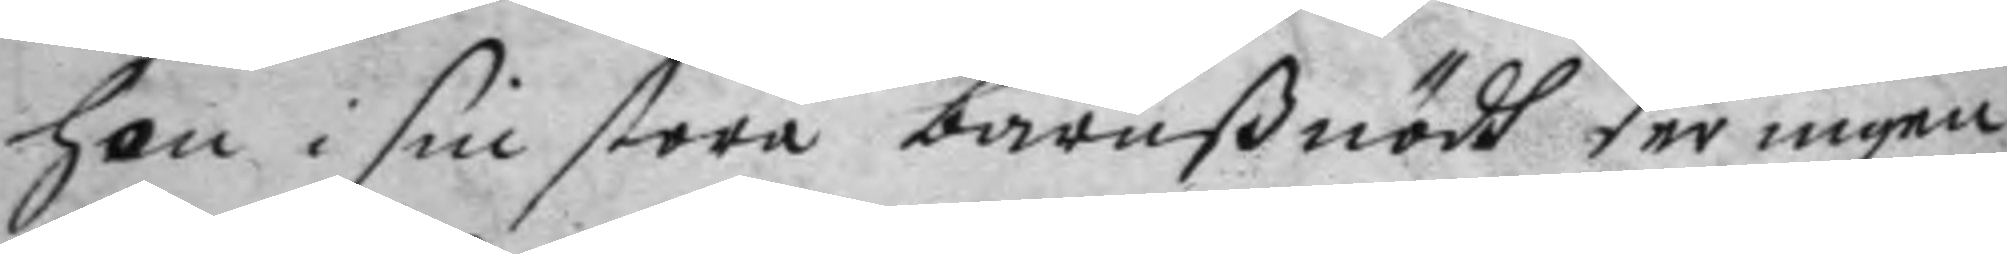hon i sin stora barnßnödh der ingen
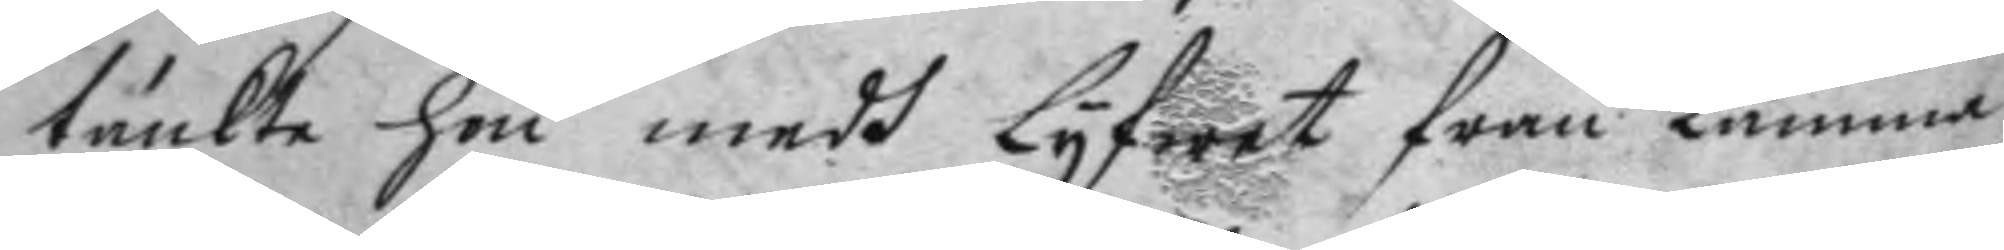tänckte hon medh Lyfwet från kåmma
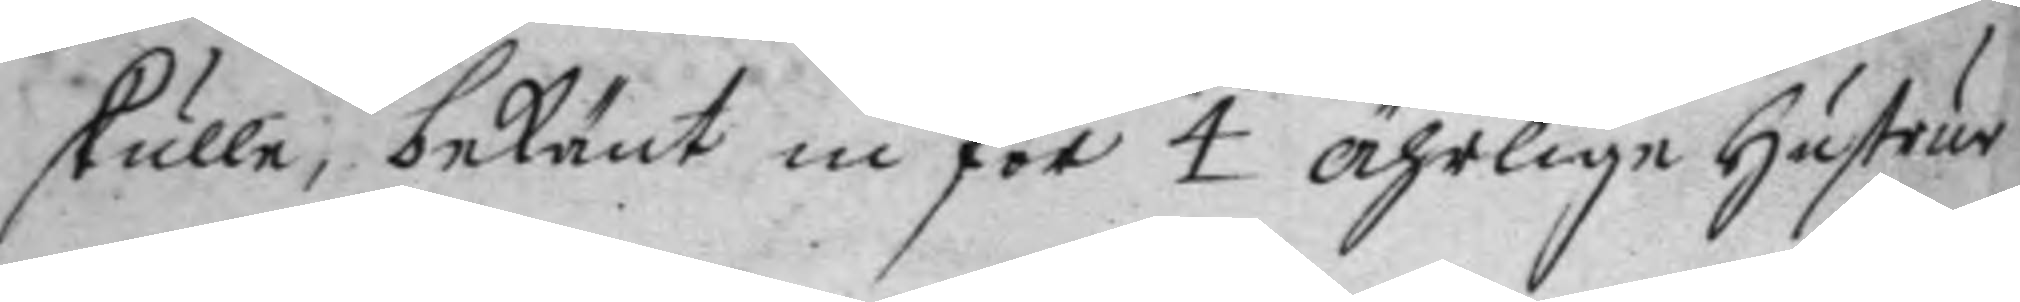skulle, bekänt in för 4 ährlige hustrur
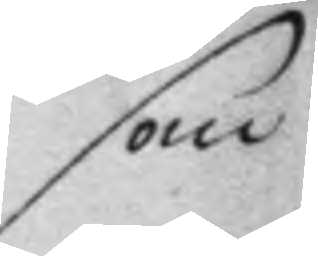som
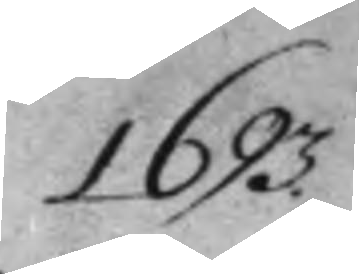1693.
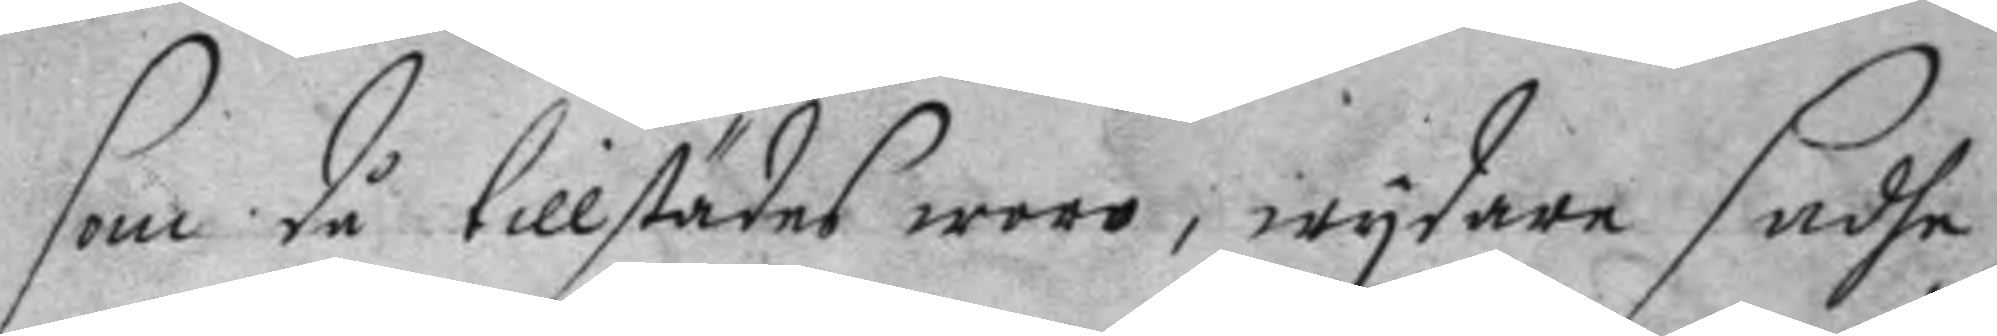som då tillstädes woro, wydare sadhe
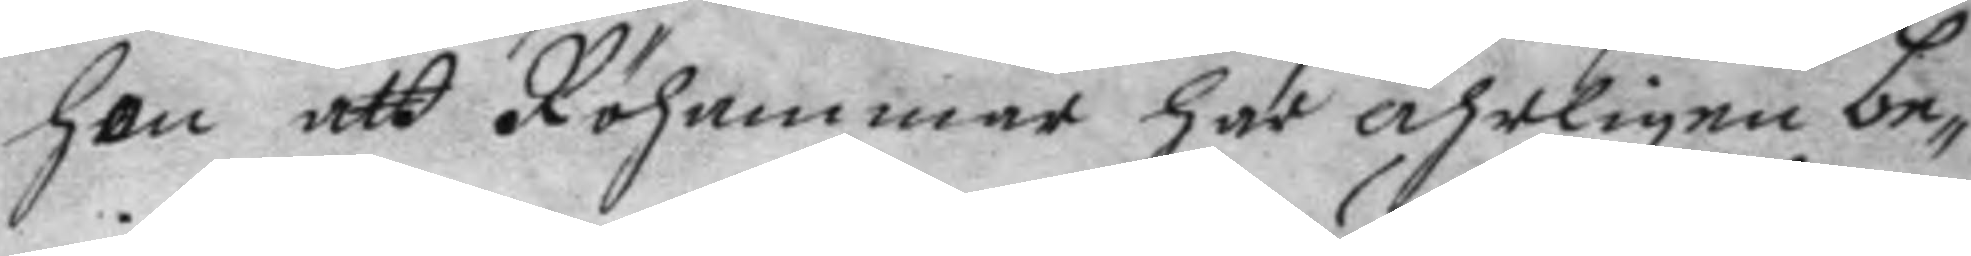hon att Röhammar har ährligen be¬
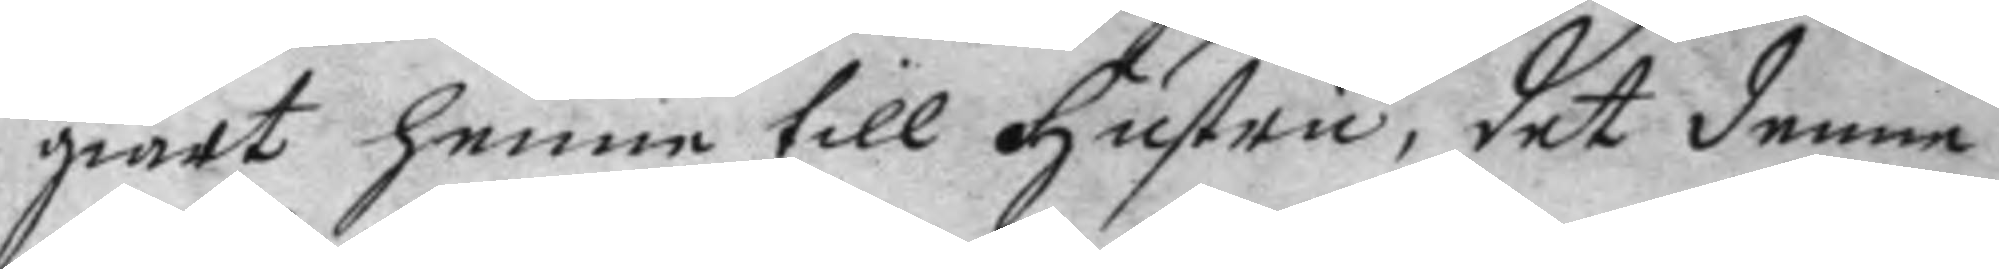giärt henne till hustru, det denne
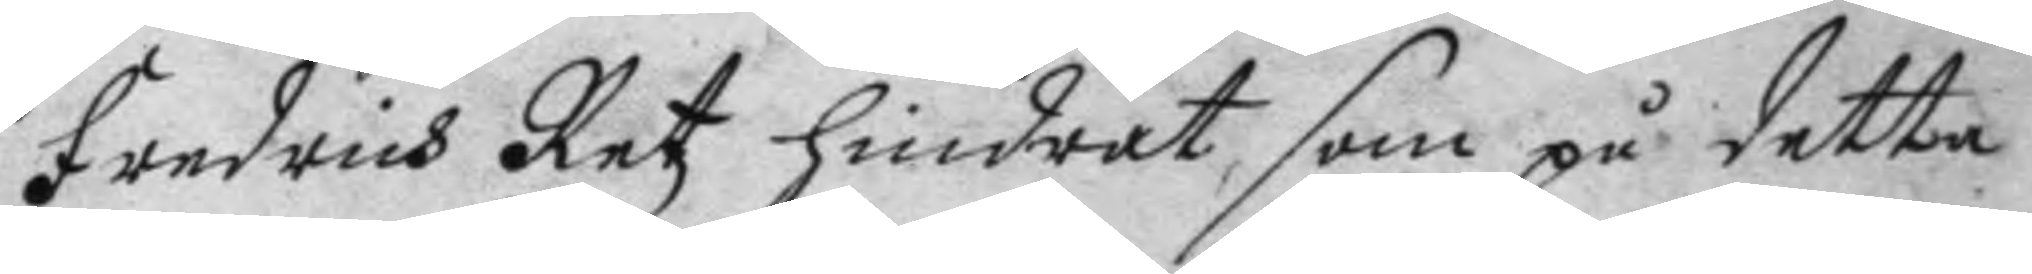Fredrich Retz hindrat, som på detta
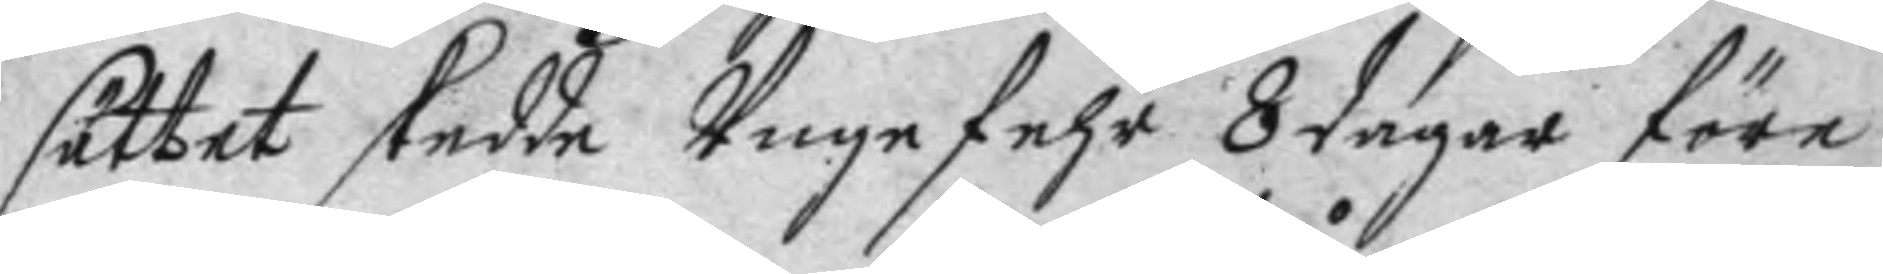sättet skedde Ungefehr 8 dagar före
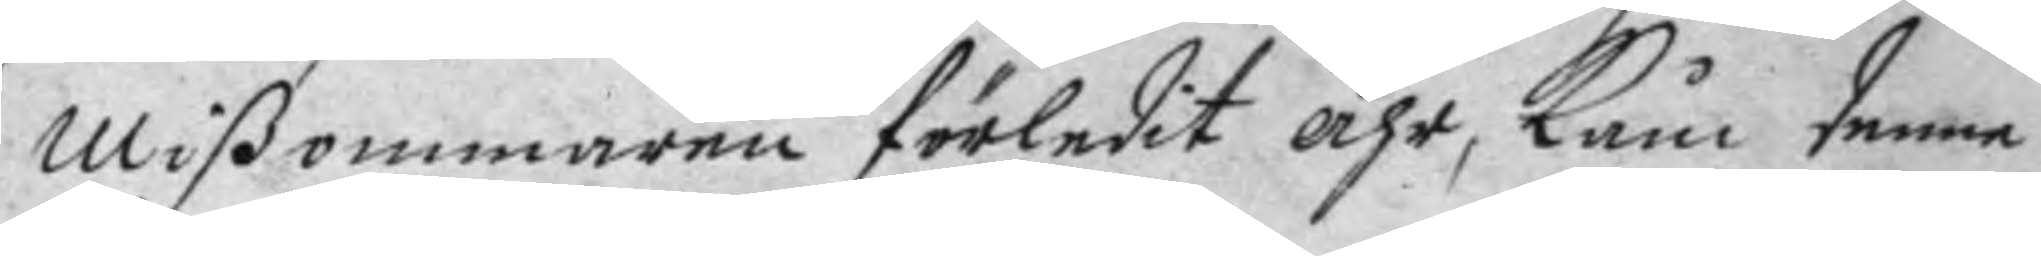mißommaren förledit åhr, Kå, denne
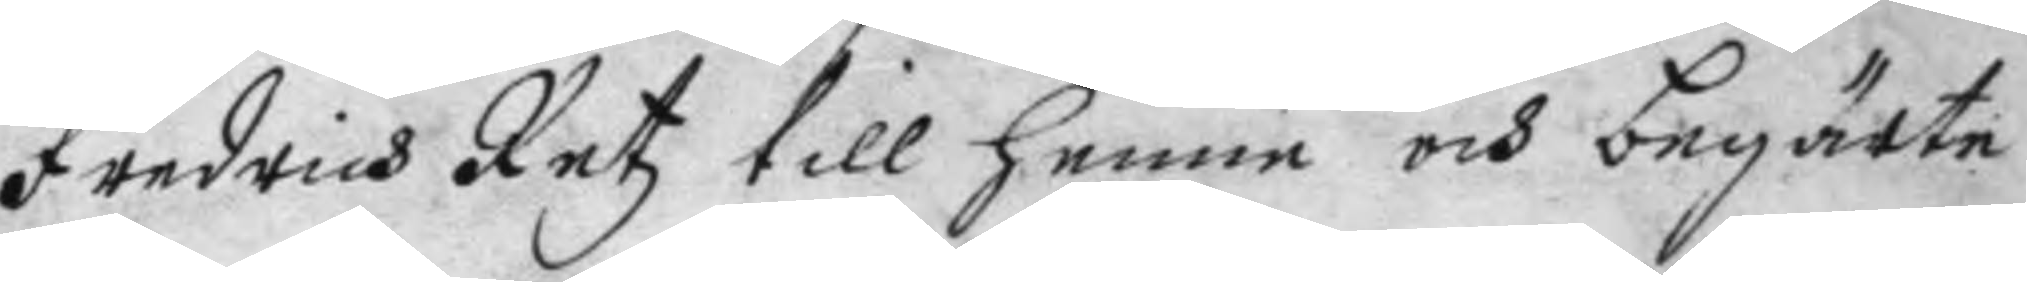Fredrich Retz till henne och begärte
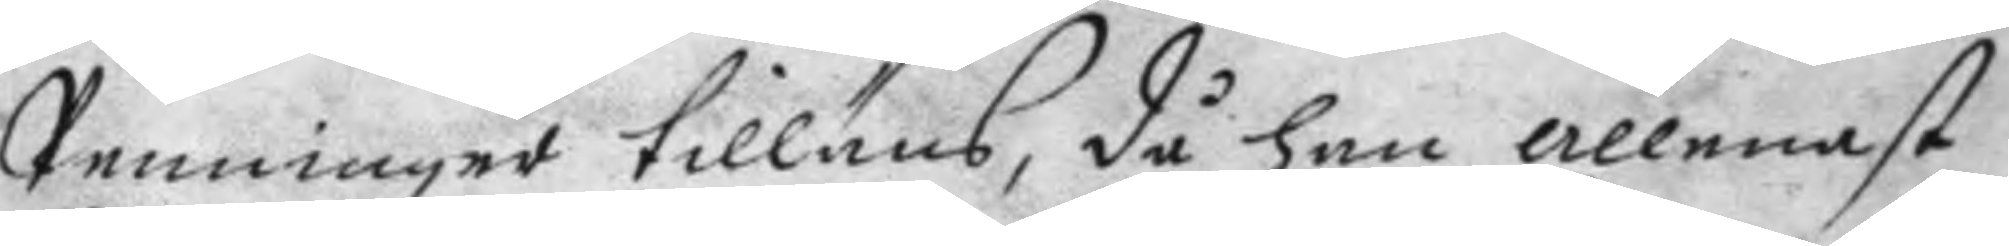Penninger tillåns, då han allenast
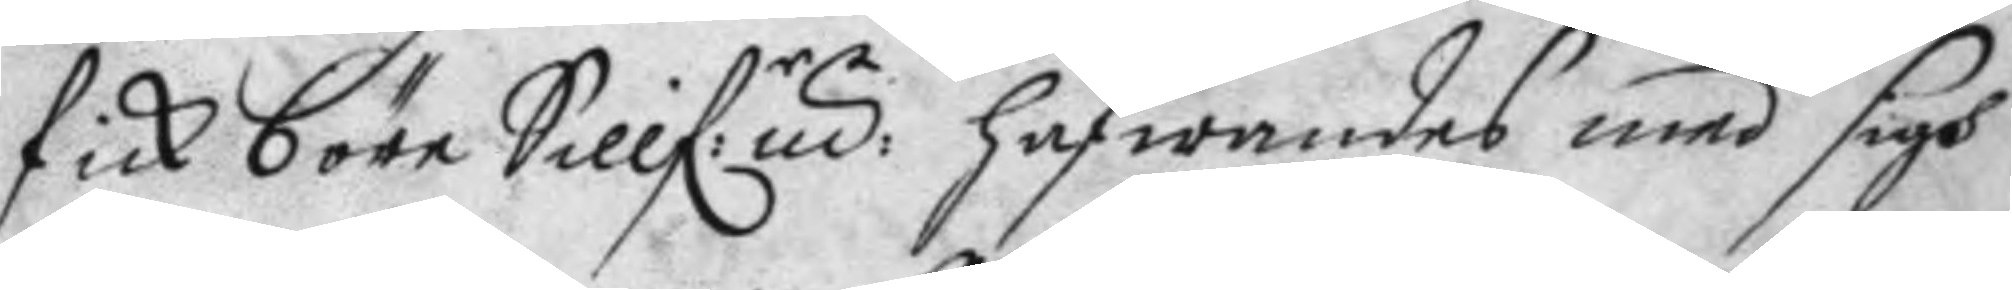fick 6 öre Sillf:rmt: hafwandes med sigh
